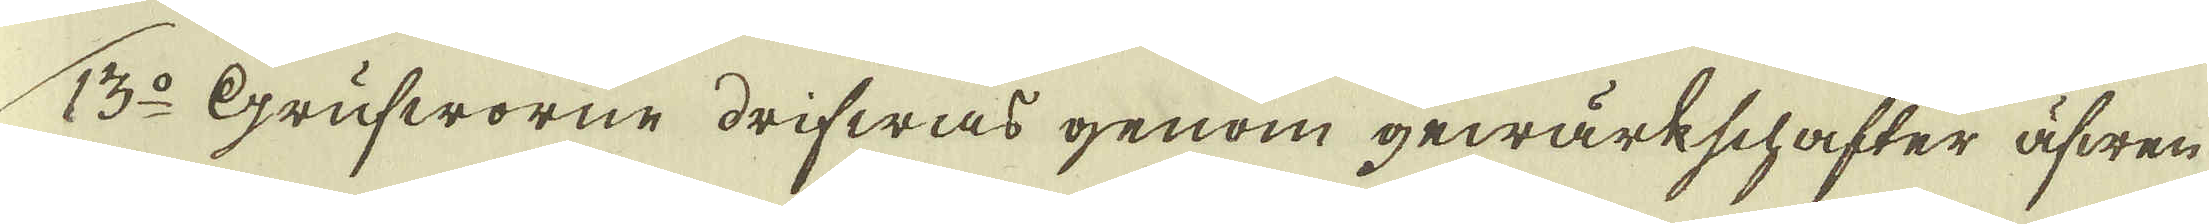13:o Grufworne drifwas genom gewärkschafter äfwen
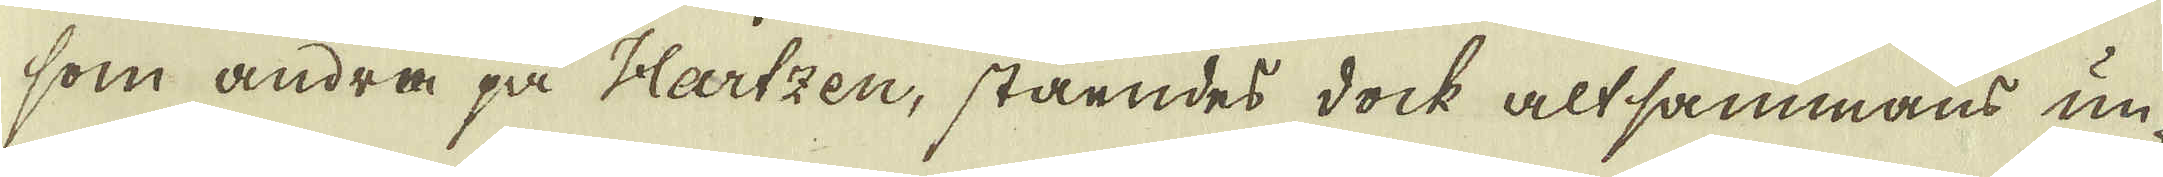som andra på Hartzen, ståendes dock altsammans un-
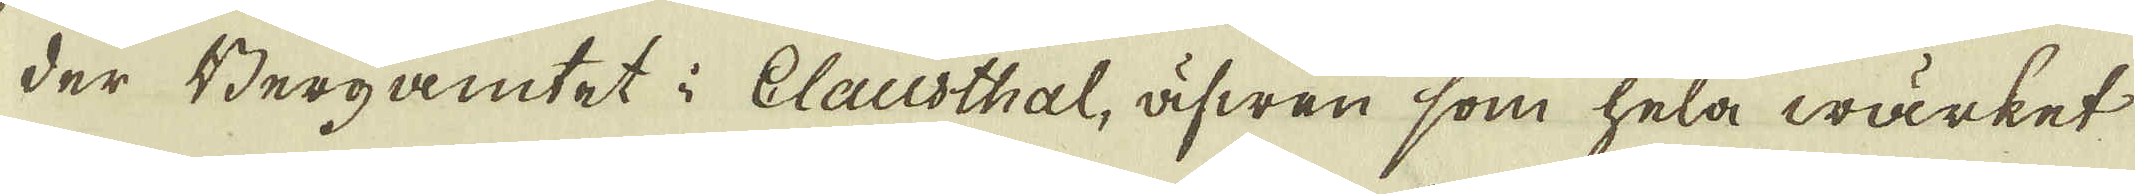der Bergamtet i Clausthal, äfwen som hela wärket
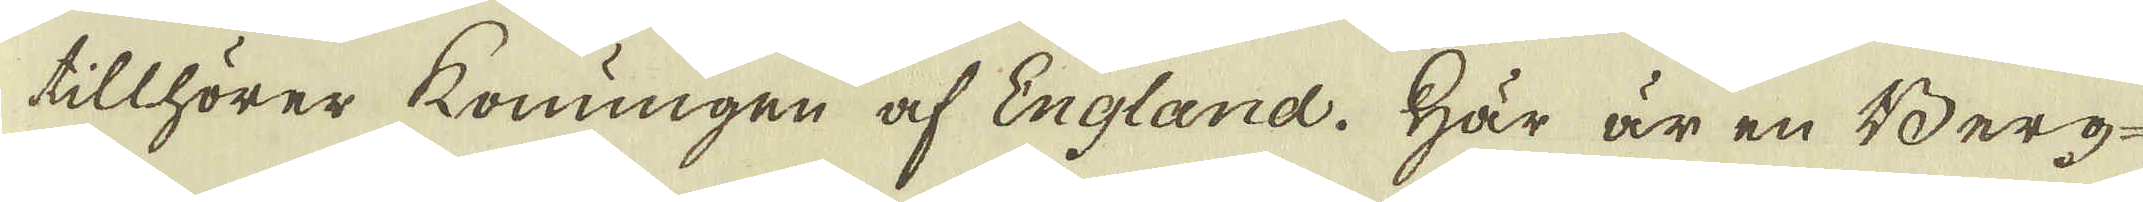tillhörer Konungen af England. Här är en Berg-
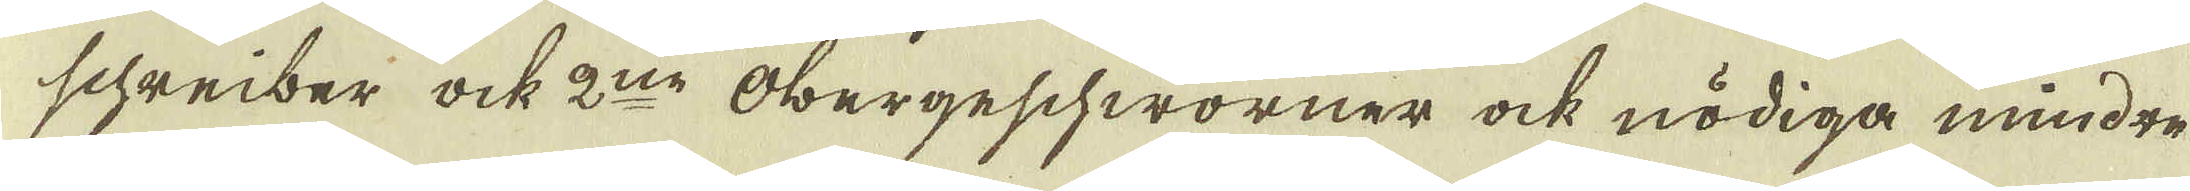schreiber ock 2:ne Obergeschworner ock nödiga mindre
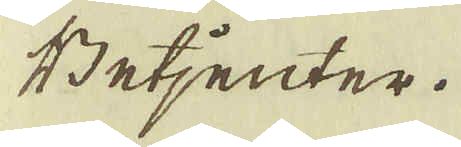Betjenter.
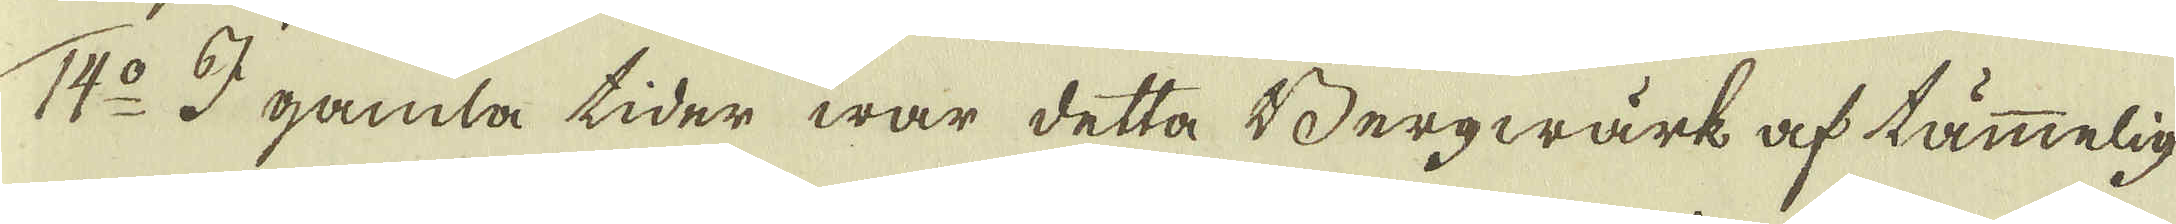14:o I gamla tider war detta Bergwärk af tämmelig
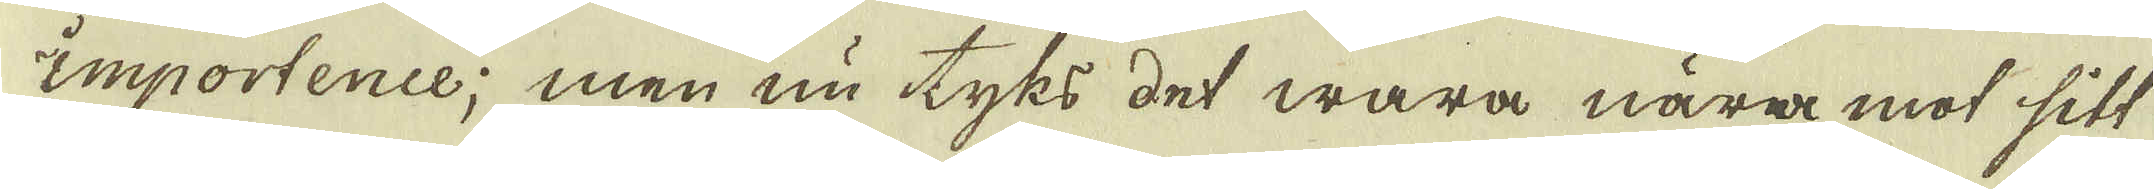importence; men nu tyks det wara nära mot sitt
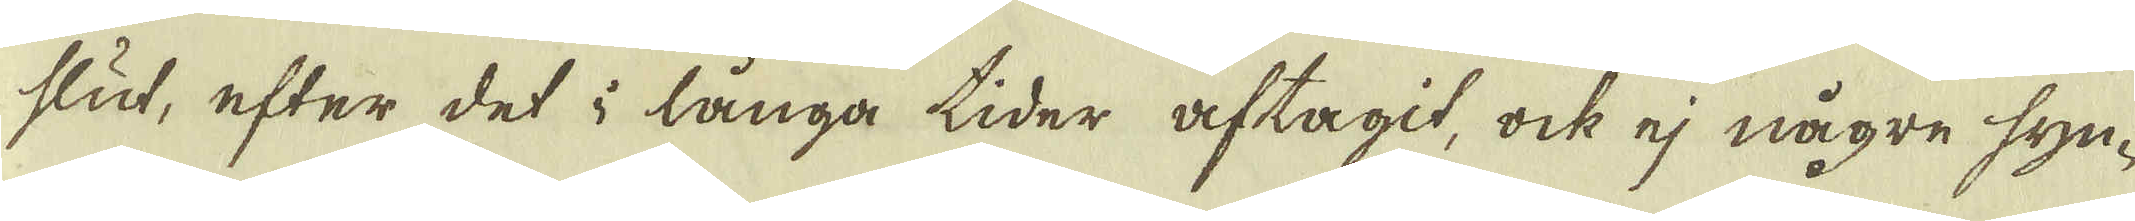slut, efter det i långa tider aftagit, ock ej någre syn-
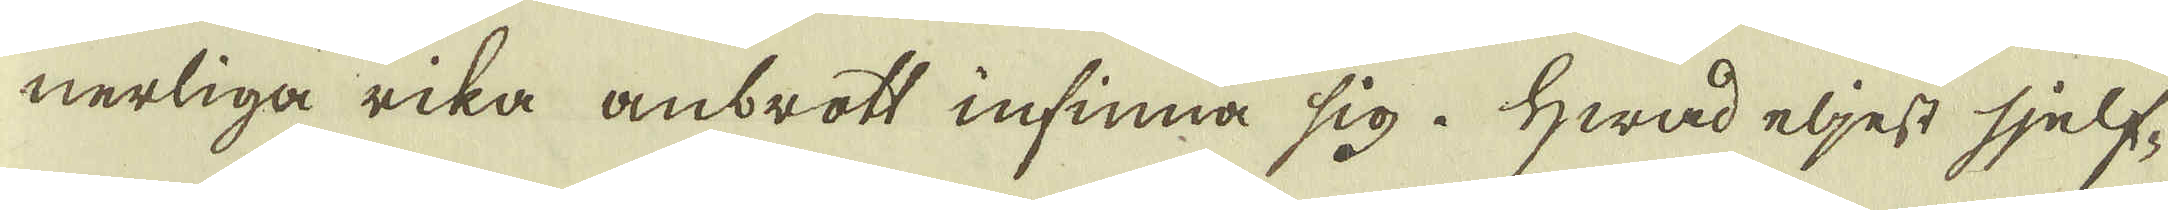nerliga rika anbrott infinna sig. Hwad eljest sjelf-
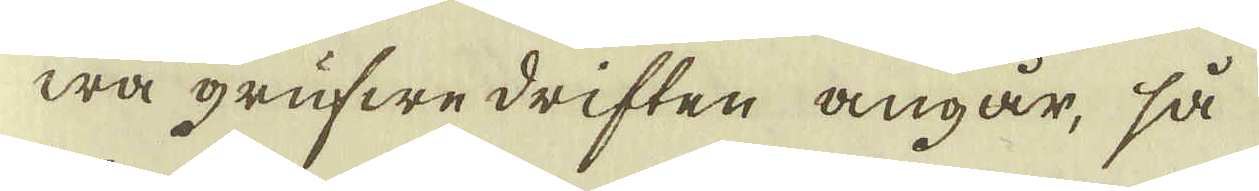wa grufwe driften angår, så
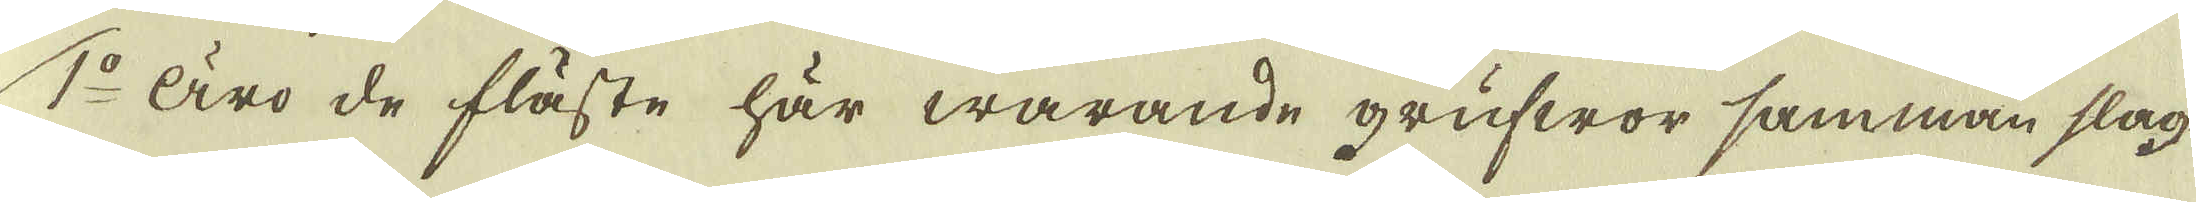1:o Äro de fläste här warande grufwor samman slag-
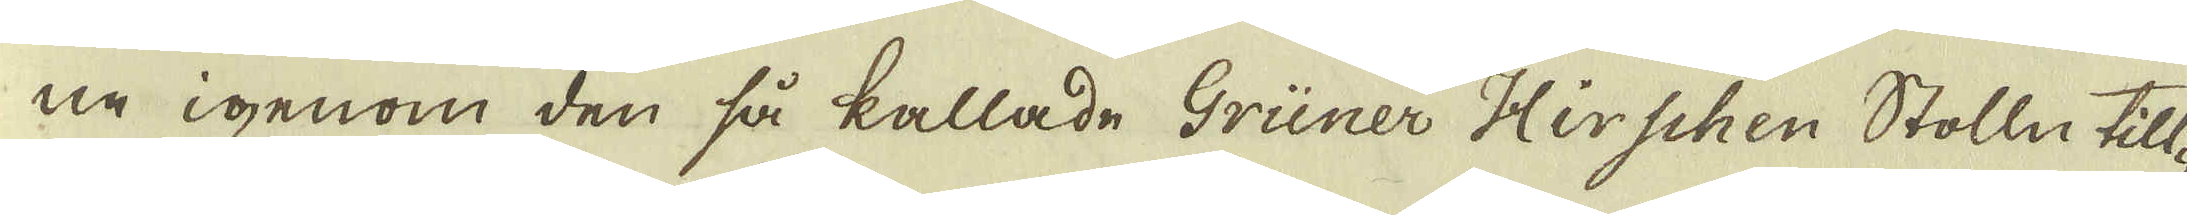ne igenom den så kallade Griner Hirschen Stolln till-
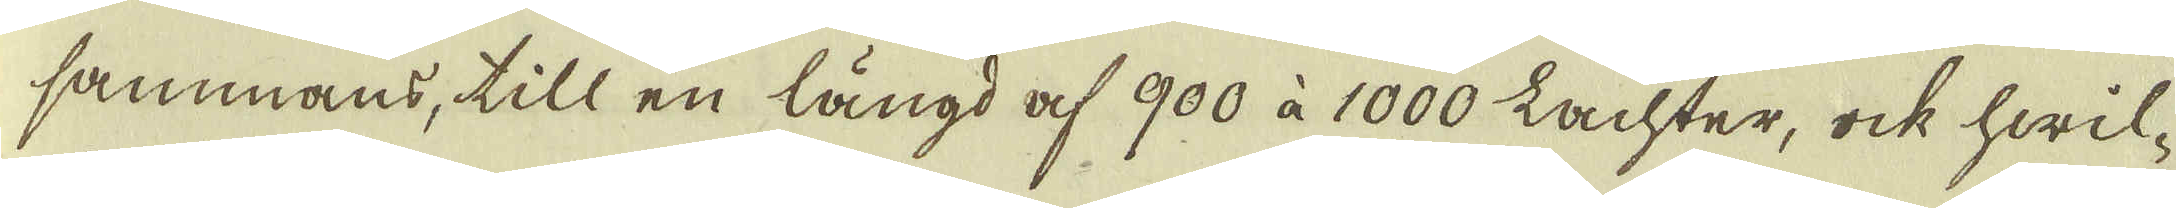sammans, till en längd af 900 à 1000 Lachter, ock hwil-
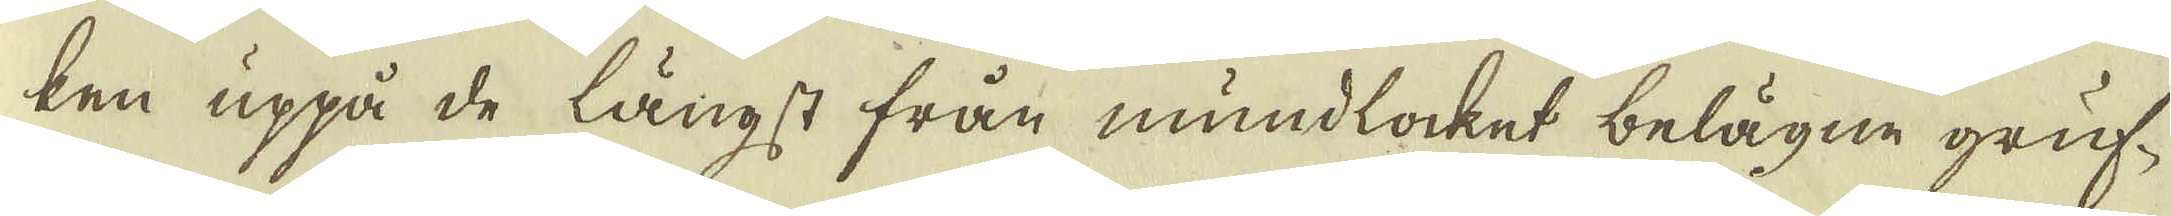ken uppå de längst från mundlocket belägne gruf-
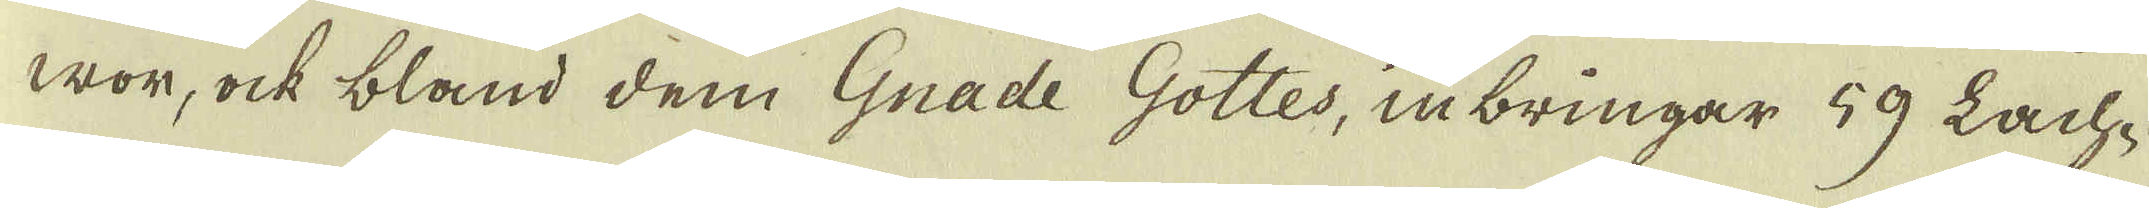wor, ock bland dem Gnade Gottes, inbringar 59 Lach-
